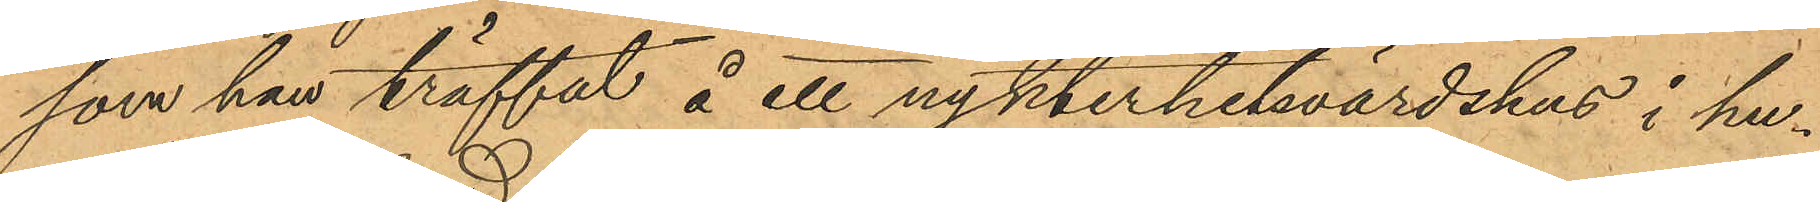som han träffat å ett nykterhetsvärdshus i hu¬
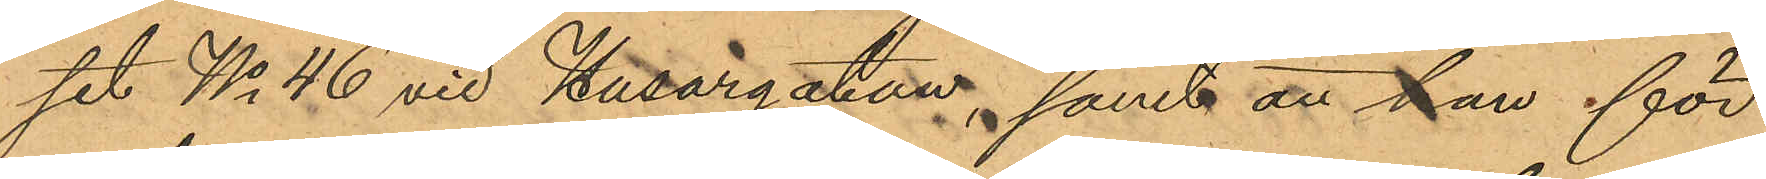set No 46 vid Husargatan, samt att han för
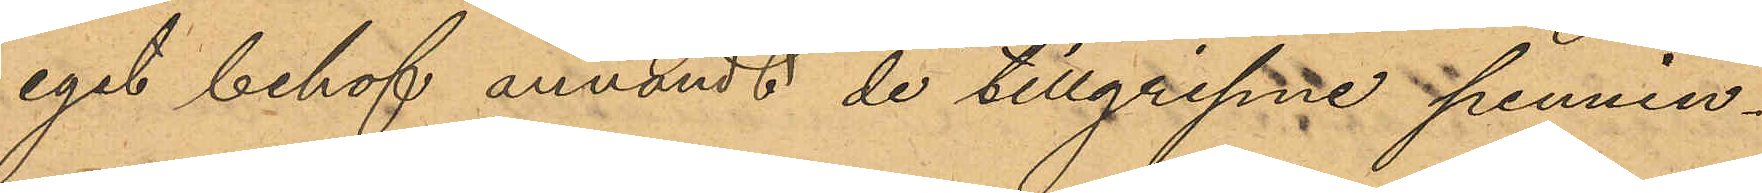eget behof användt de tillgripne pennin¬
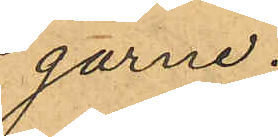garne.
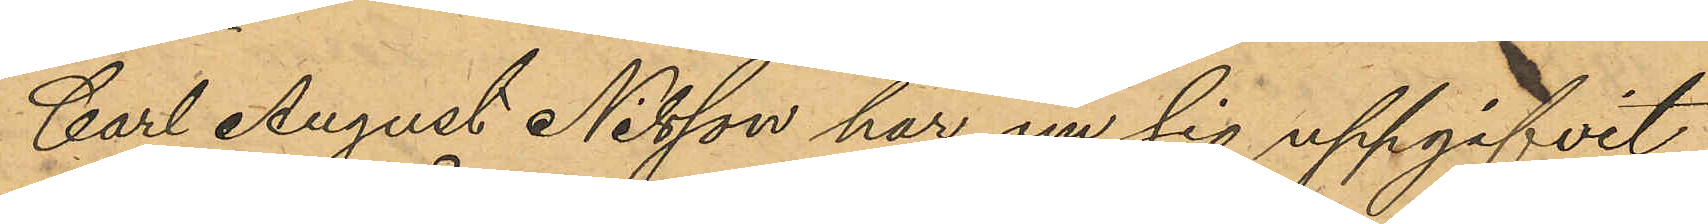Carl August Nilsson har om sig uppgifvit
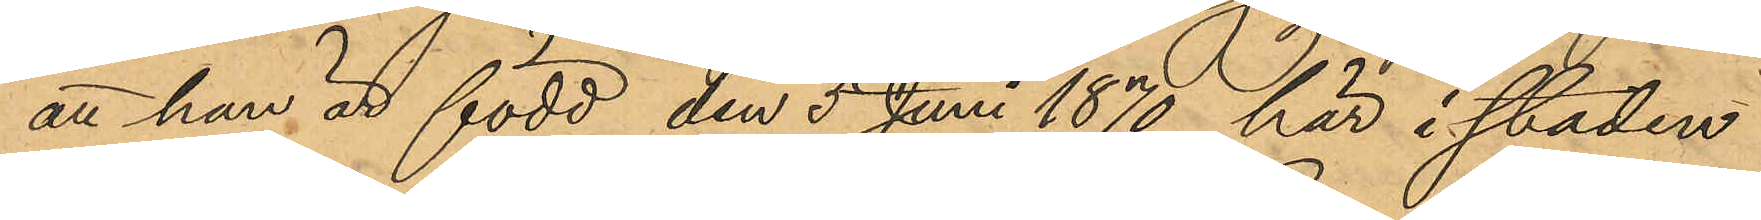att han är född den 5 Juni 1870 här i staden
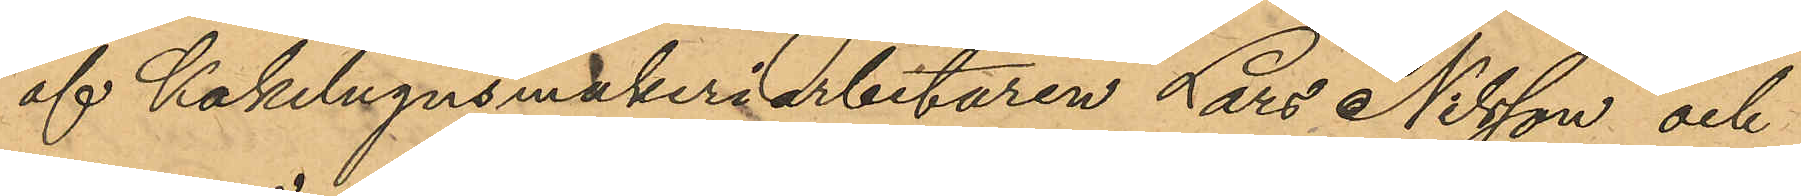af Kakelugnsmakeriarbetaren Lars Nilsson och
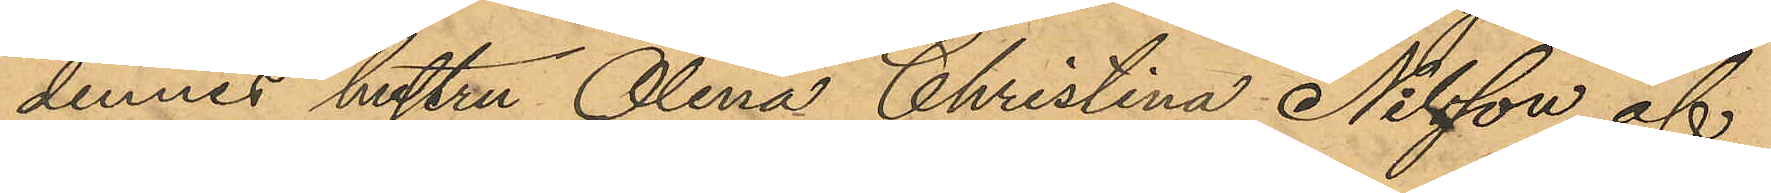dennes hustru Olena Christina Nilsson af
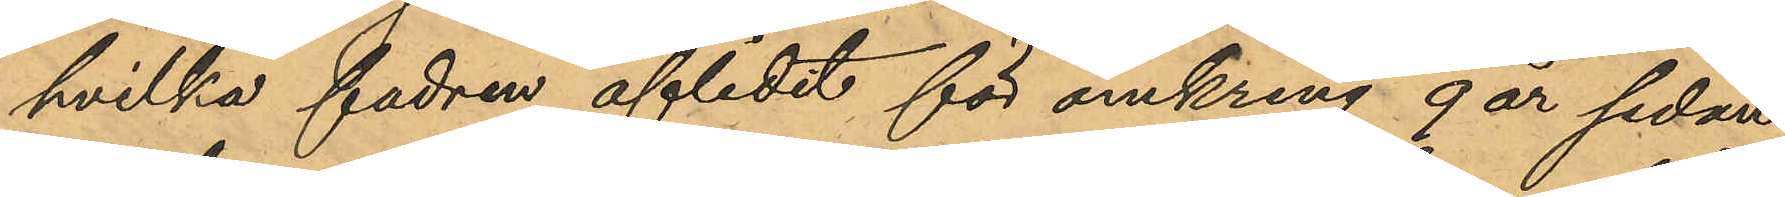hvilka fadren aflidit för omkring 9 år sedan
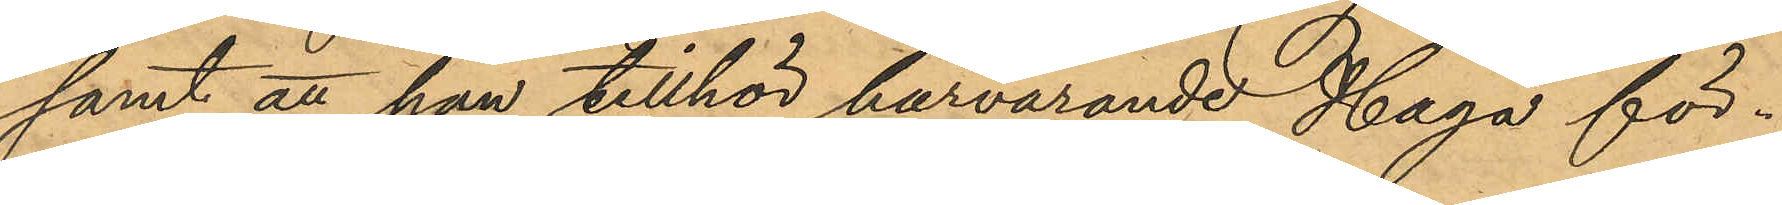samt att han tillhör härvarande Haga för¬
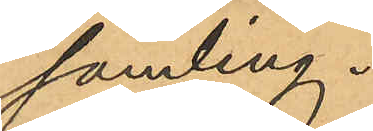samling.
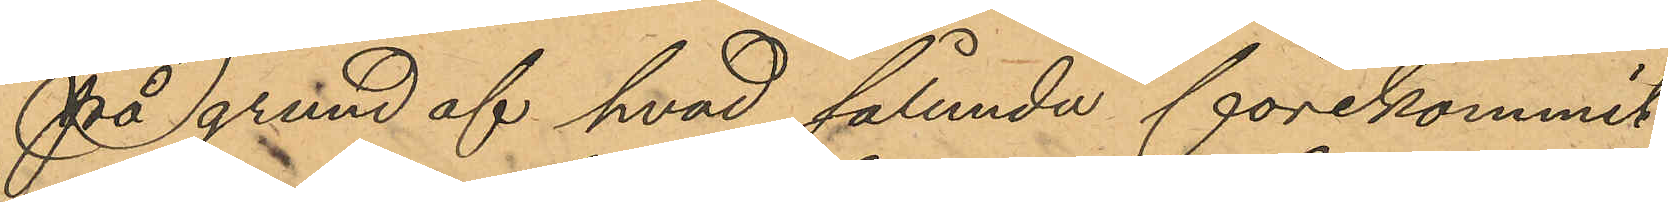På grund af hvad sålunda förekommit
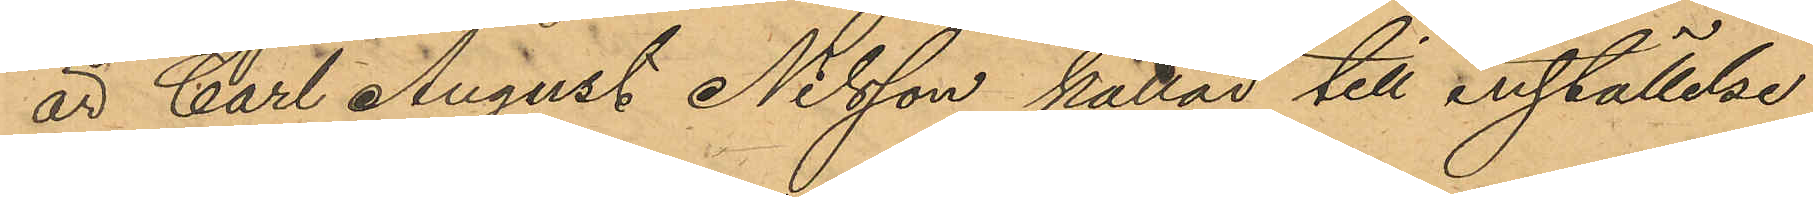är Carl August Nilsson kallad till anställelse
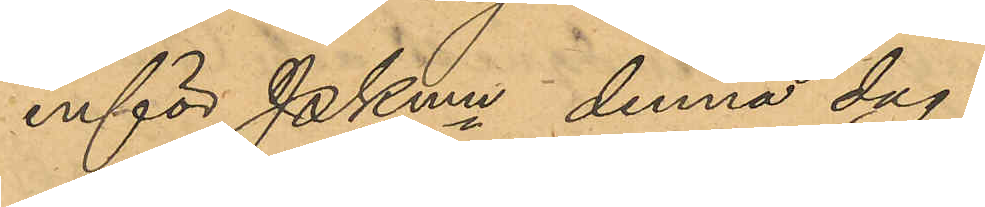inför Pkmn denna dag.
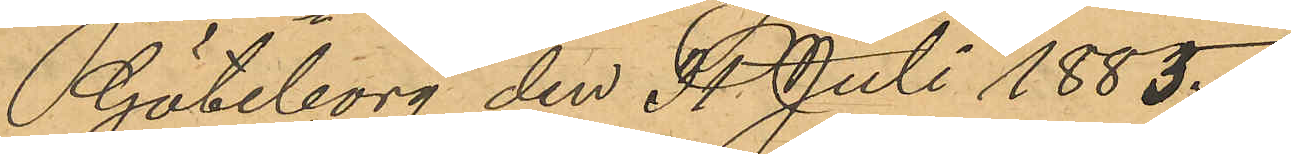Göteborg den 31 Juli 1885.
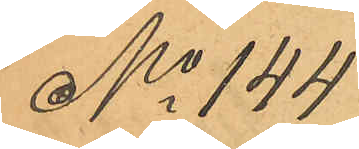No 144
